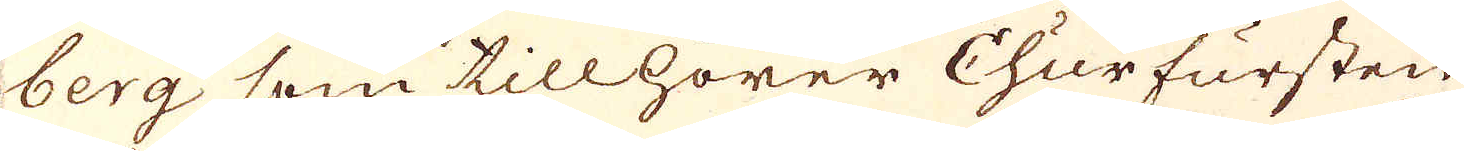berg som tillhörer Churfursten
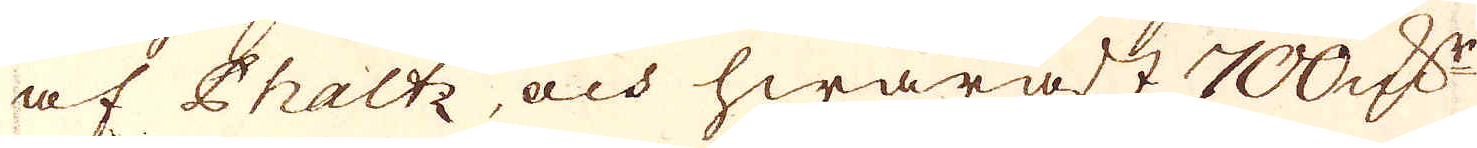af Phaltz, och hwaräst 700. qv:r
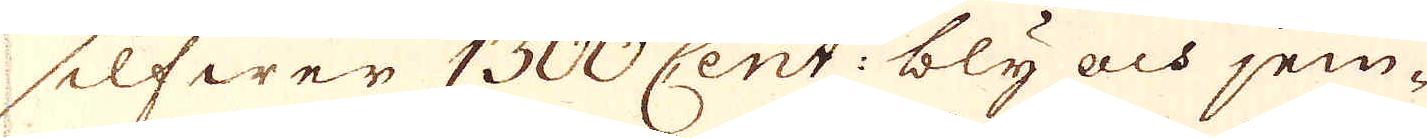silfwer 1300. Cent: bly och jem-
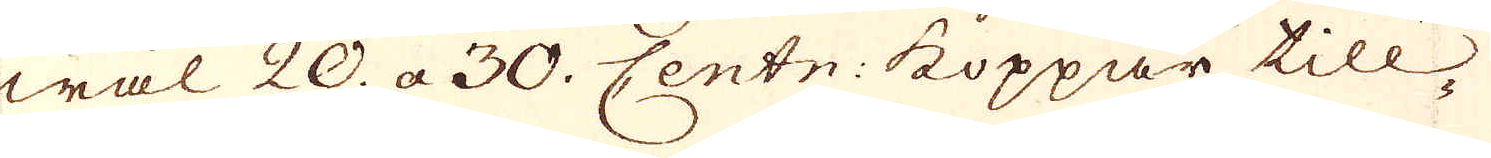wäl 20. a 30. Centn: koppar till-
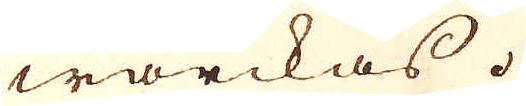wärckas.
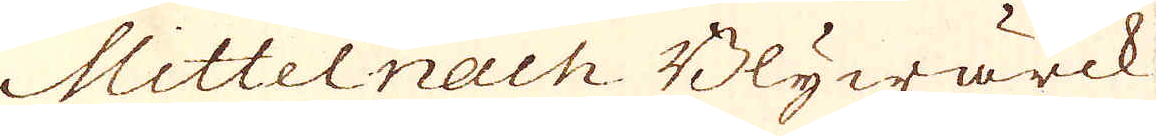Mittelnach Blywärck
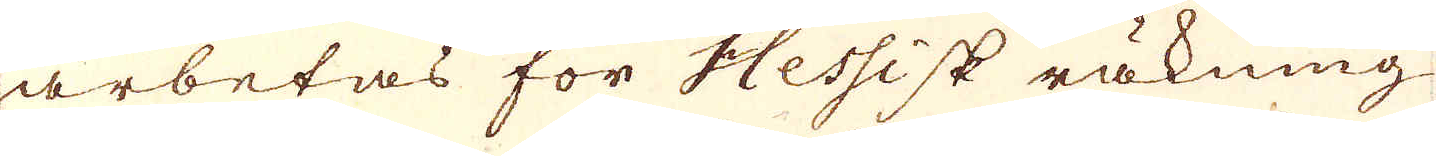arbetas för Hessisk räkning
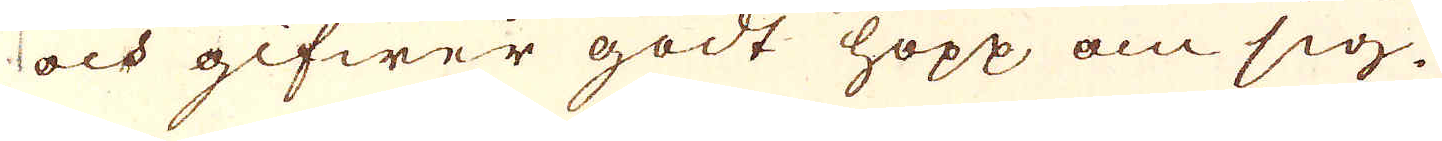och gifwer godt hopp om sig.
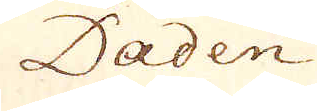Daden
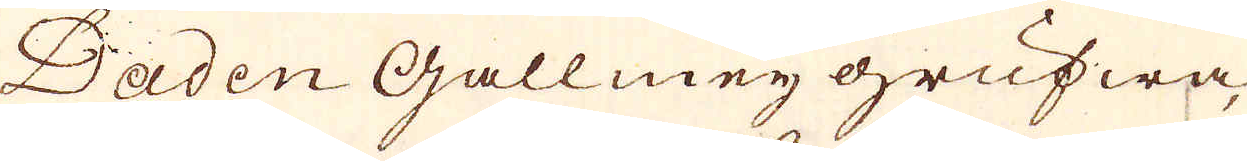Daden Gallmey grufwa
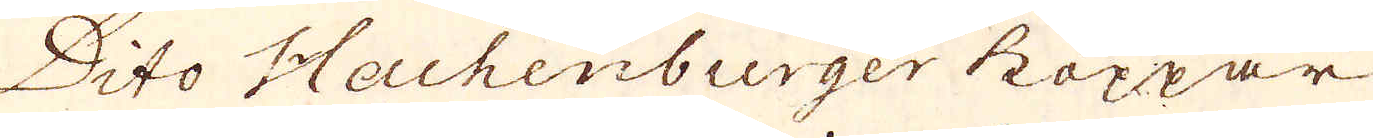Dito Hachenburger koppar
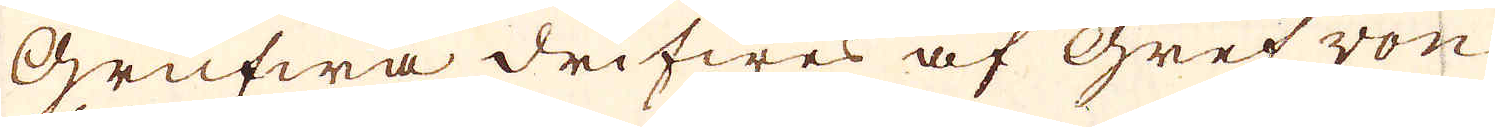Grufwa drifwes af Gref von
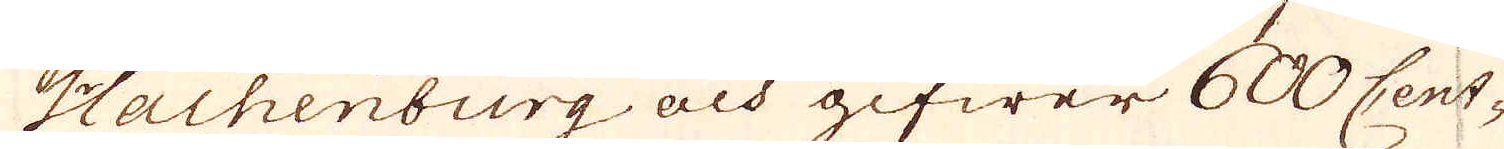Hachenburg och gifwer 600 Cent-
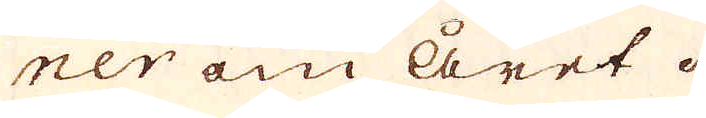ner om året.
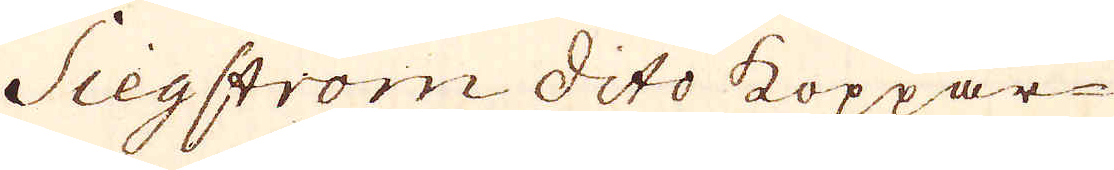Siegström dito koppar-
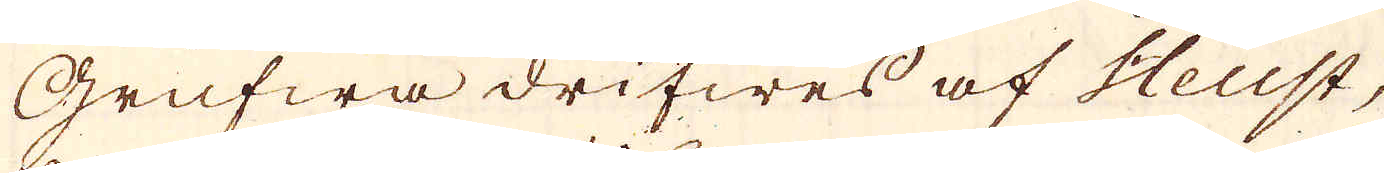Grufwa drifwes af Heust,
